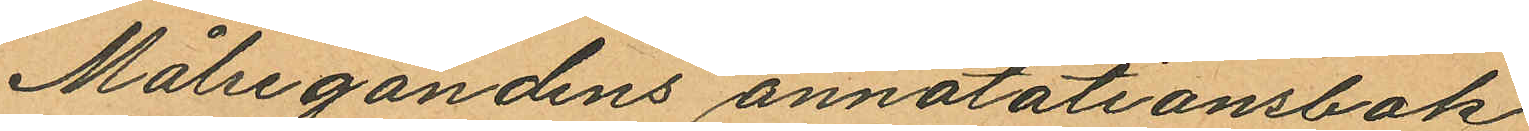Målsegandens annotationsbok
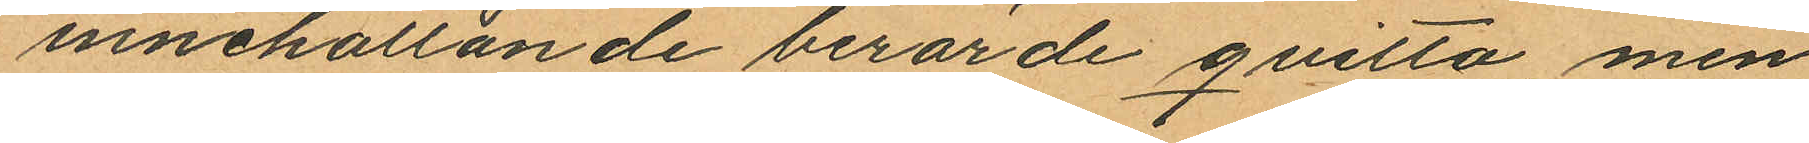innehållande berörde qvitto men
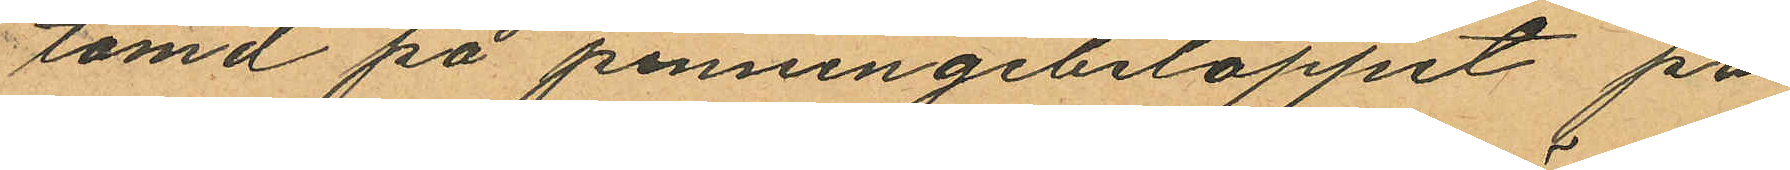tömd på penningebeloppet på
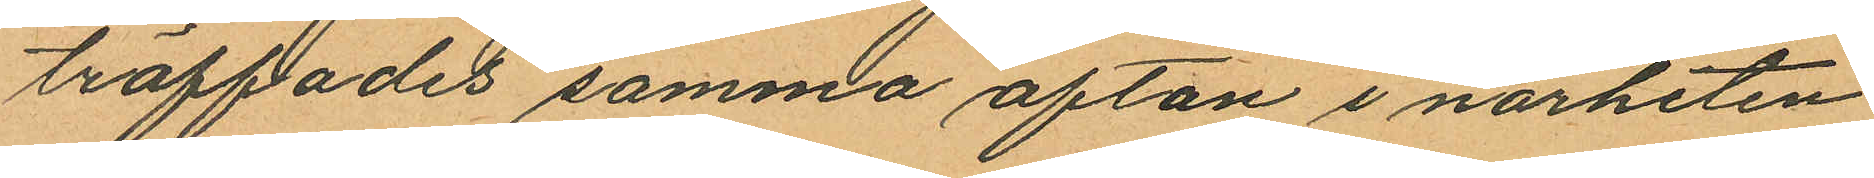träffades samma afton i närheten
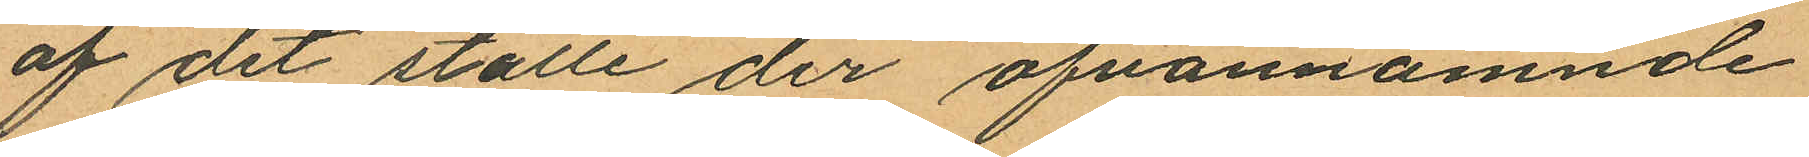af det ställe der ofvannämnde
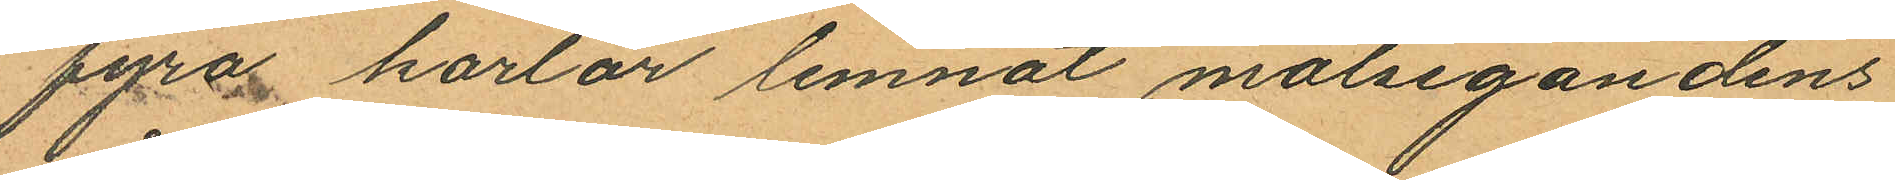fyras karlar lemnat målsegandens
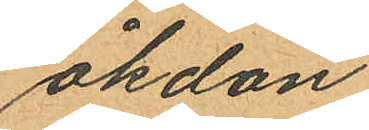åkdon
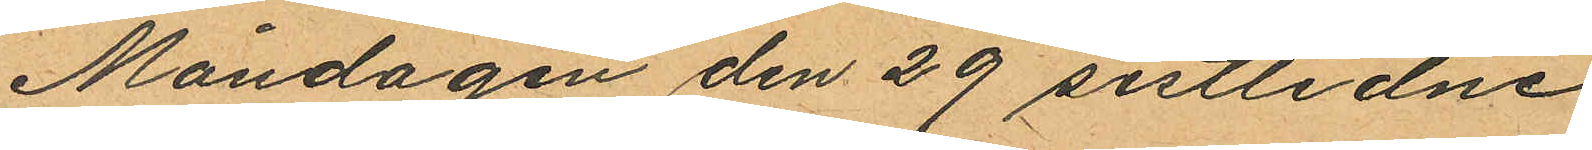Måndagen den 29 sistlidne
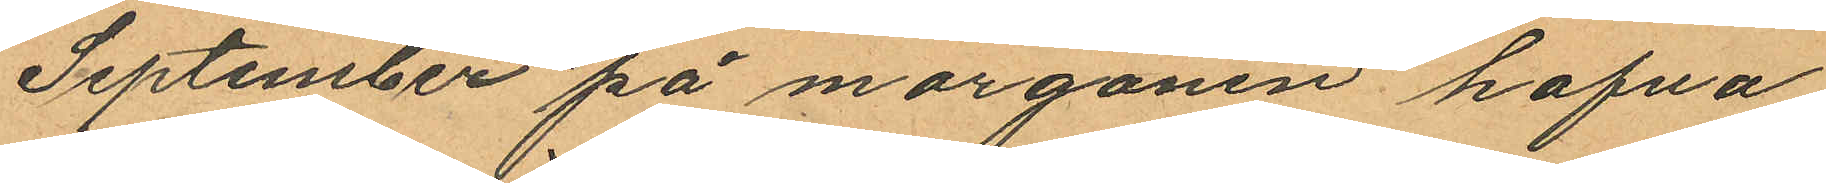September på morgonen hafva
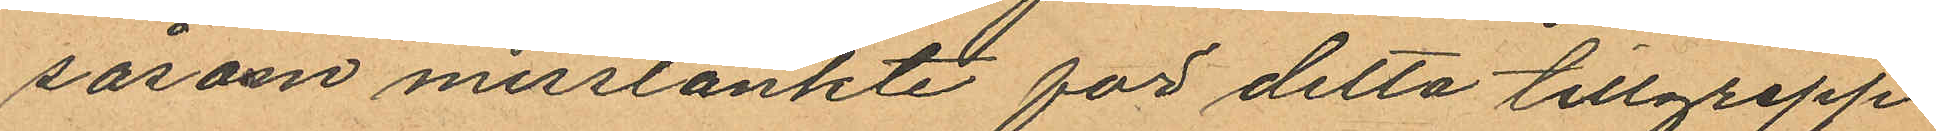såsom misstänkte för detta tillgrepp
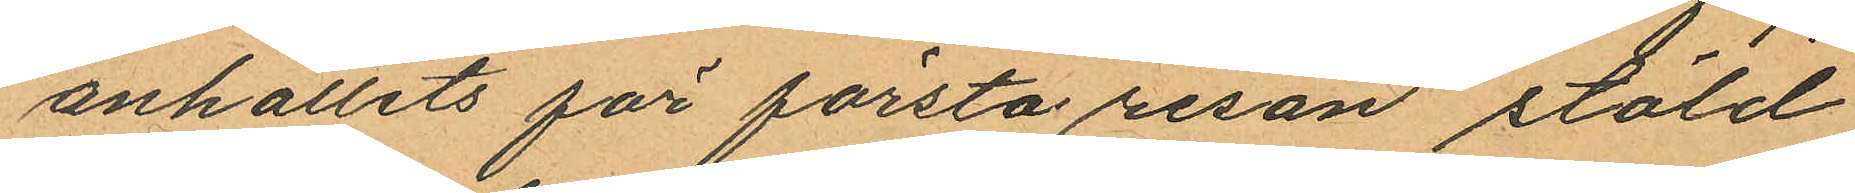anhållits för första resan stöld
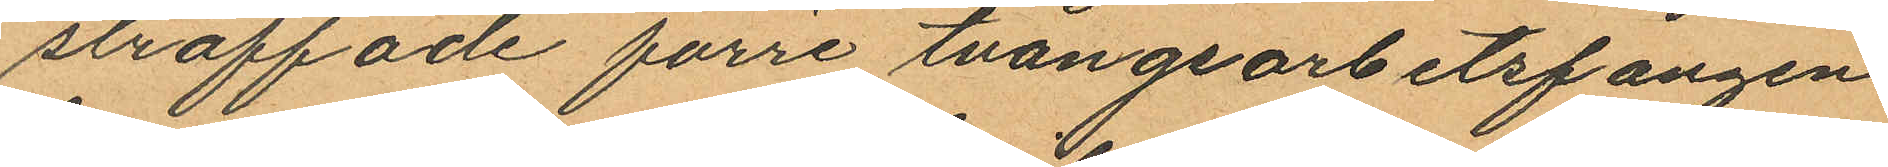straffade förre tvångsarbetsfången
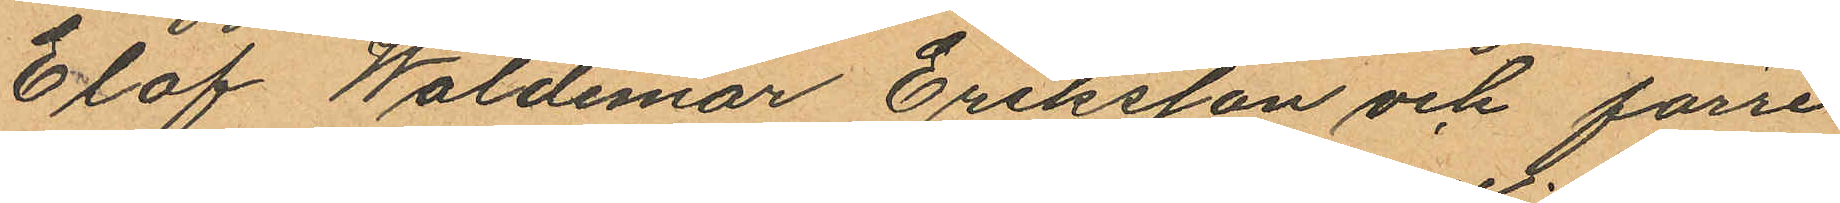Olof Waldemar Eriksson och förre
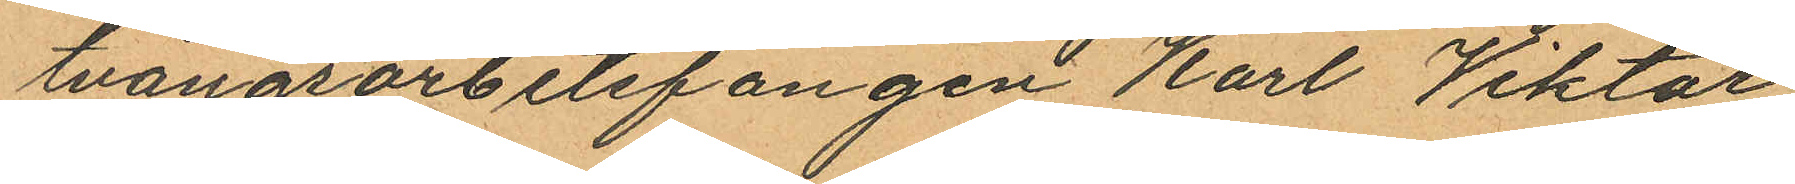tvångsarbetsfången Karl Viktor
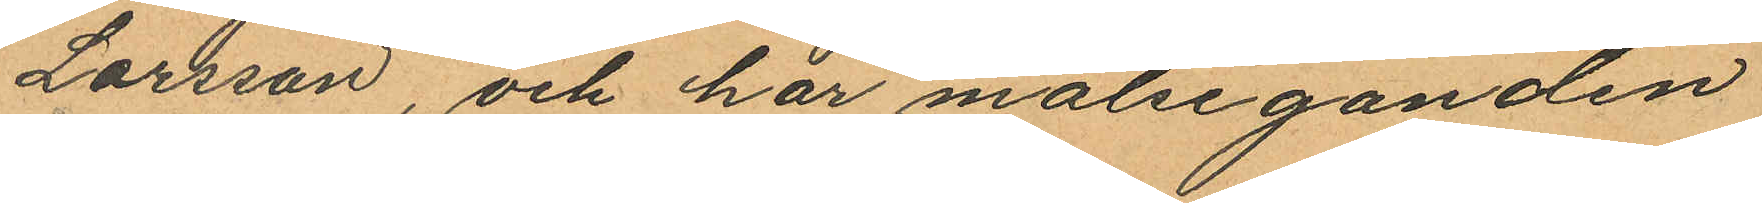Larsson, och har målseganden
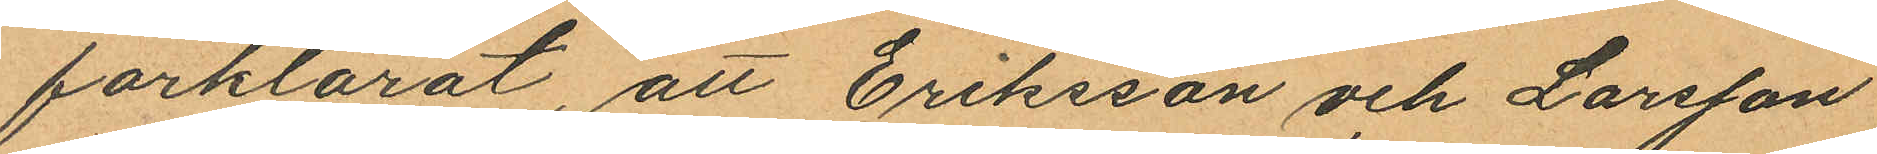förklarat, att Eriksson och Larsson
